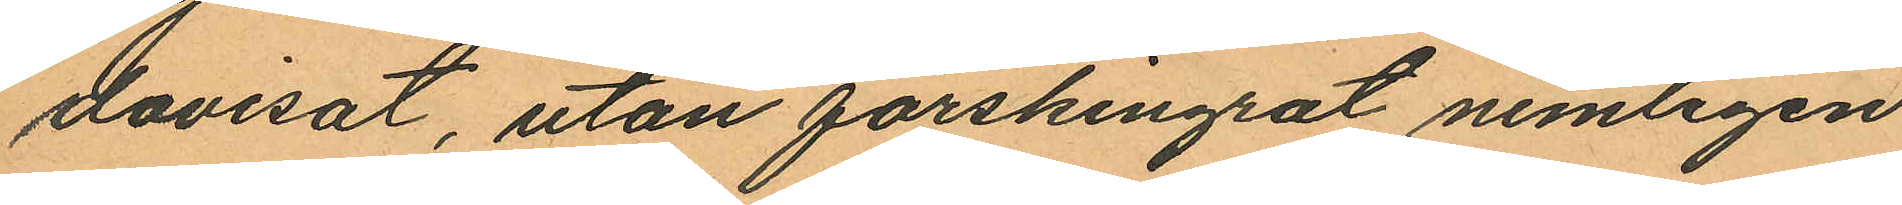dovisat, utan förskingrat nemligen
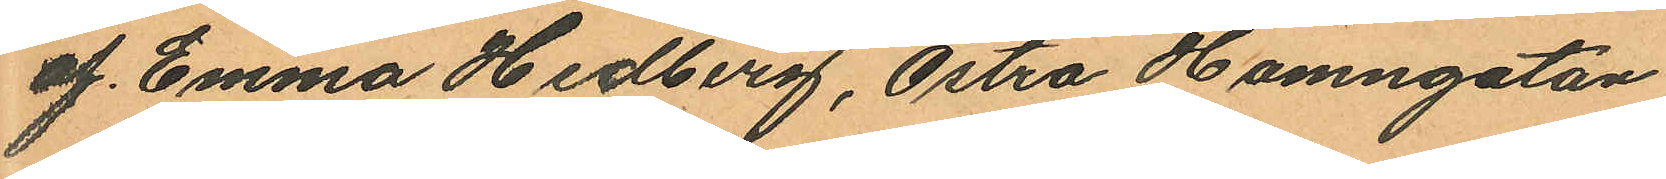af Emma Hedberg, Östra Hamngatan
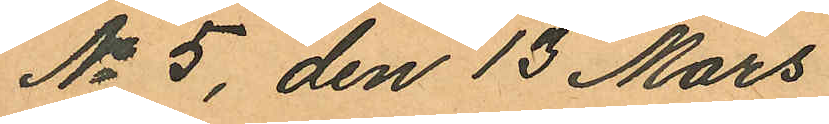No 5, den 13 Mars
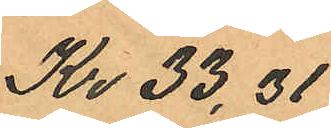Kr 33,31
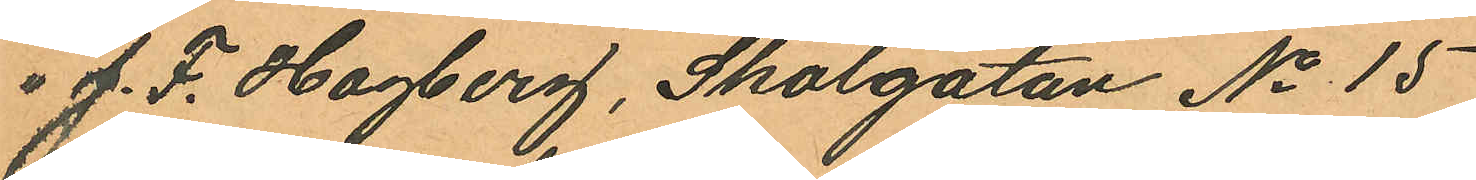" J. F. Hagberg, Skolgatan No 15
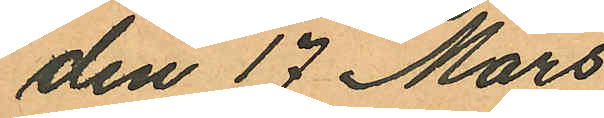den 17 Mars
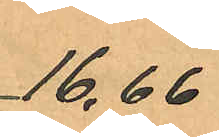16,66
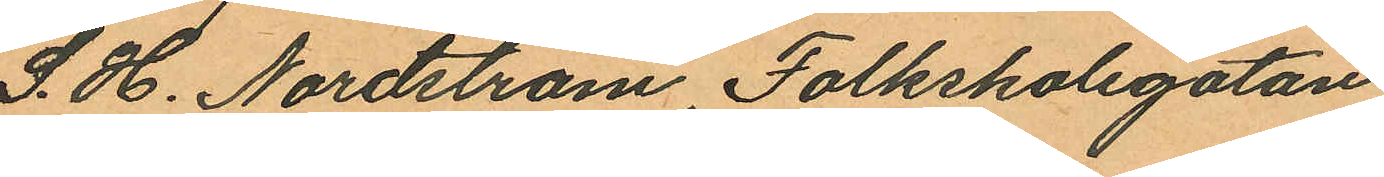S. H. Nordström, Folkskolegatan
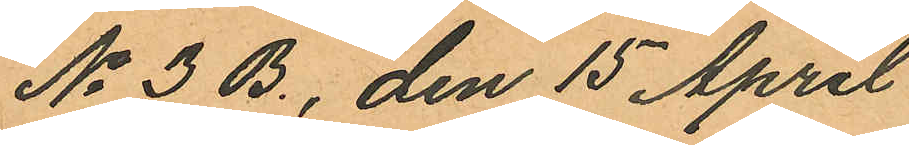No 3 B., den 15 April
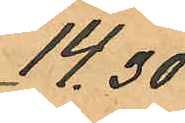14,30
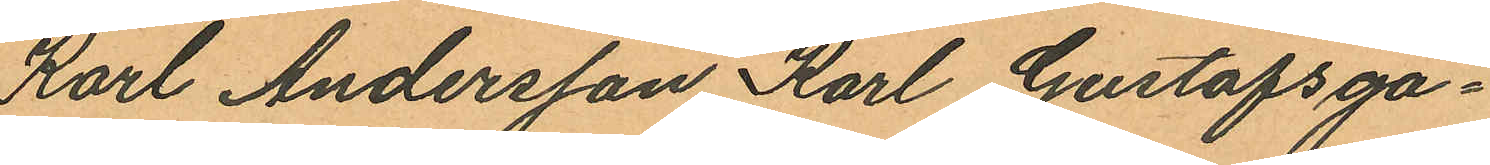Karl Andersson Karl Gustafsga¬
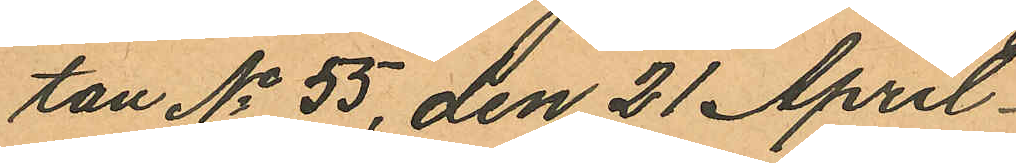tan No 55, den 21 April
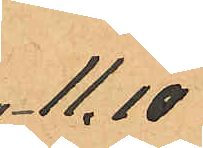11.10
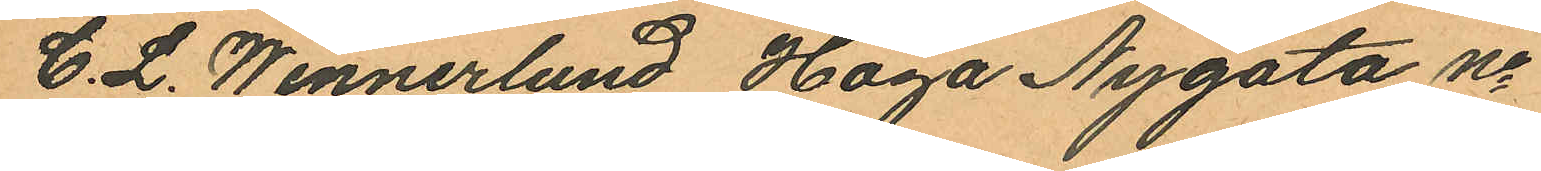C. L. Wennerlund Haga Nygata No
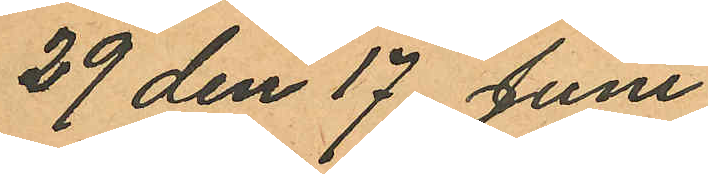29 den 17 Juni
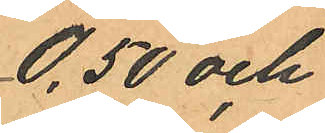0,50 och
